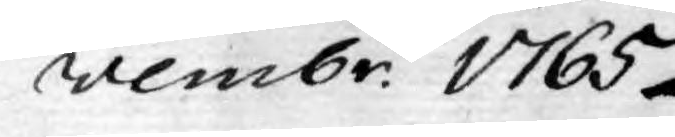vembr. 1765.
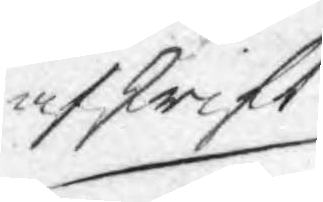afskrift
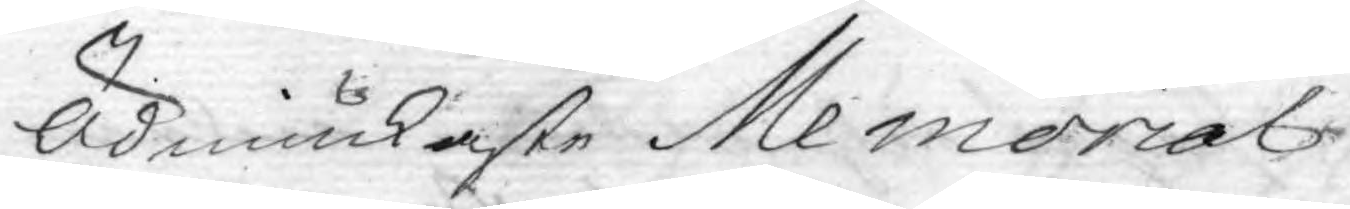Ödmiukaste Memorial!
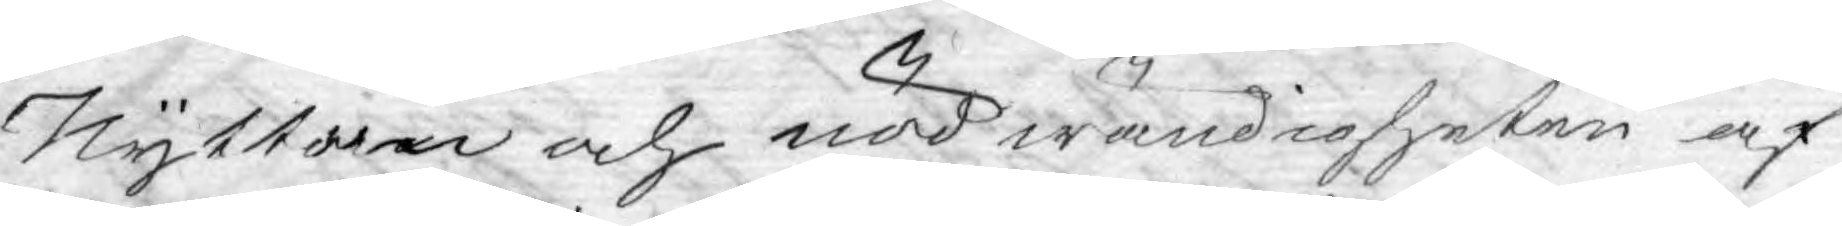Nyttan och nödwändigheten af
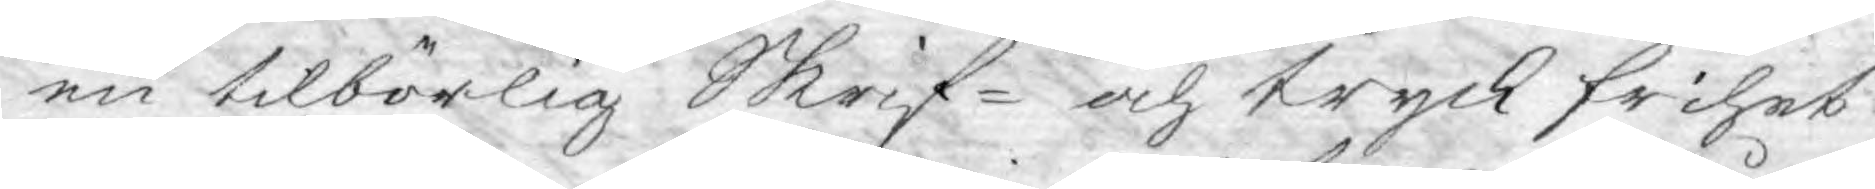en tilbörlig Skrif- och tryck frihet
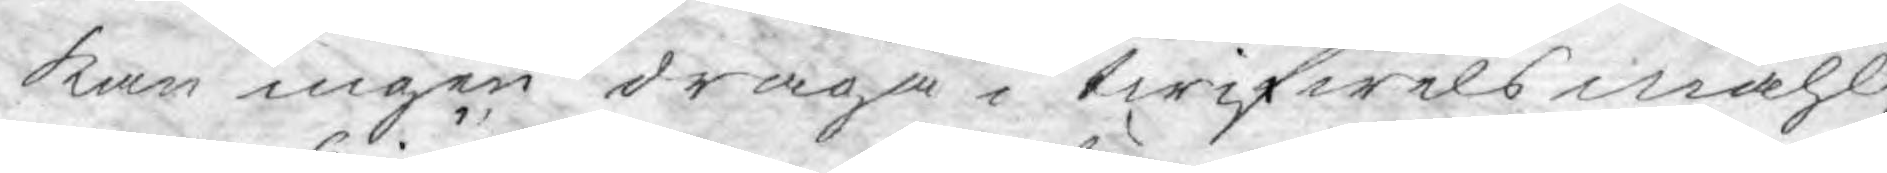kan ingen draga i twifwels måhl,
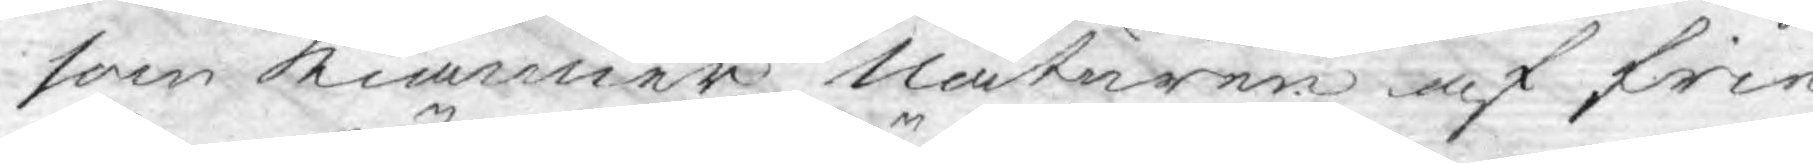som kiänner Naturen af frie
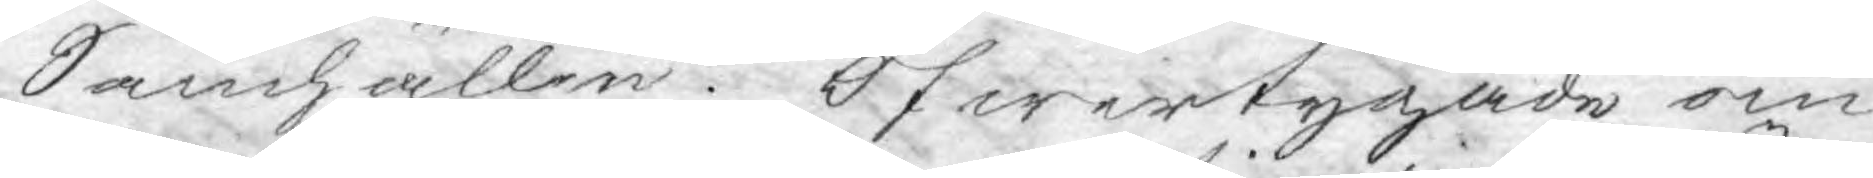Samhällen. Öfwertygade om
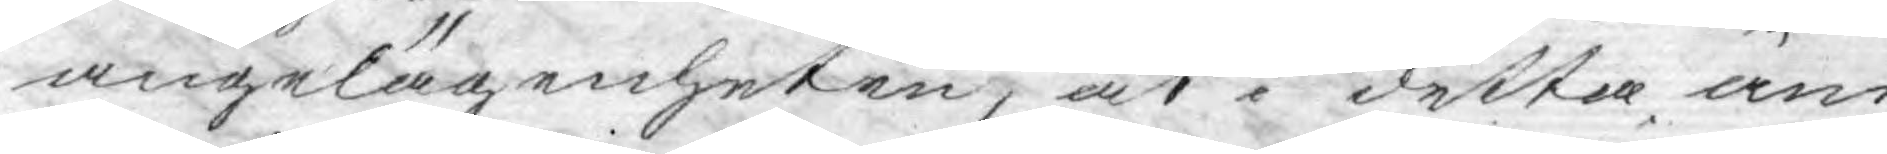angelägenheten, at i detta äm¬
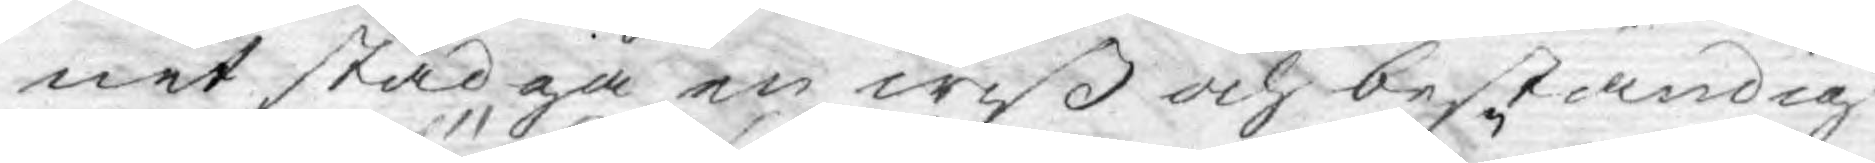net stadga en wiß och beständig
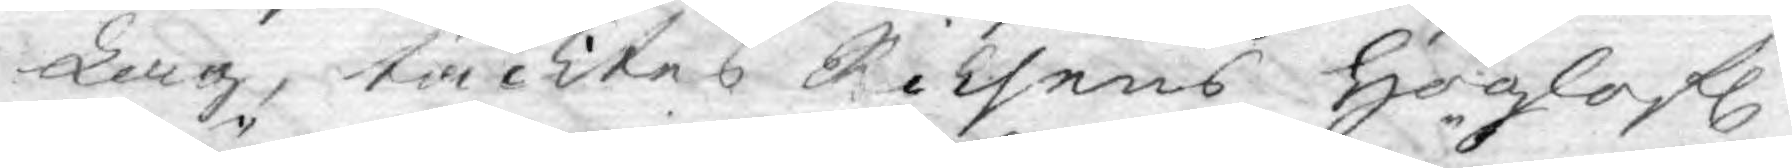Lag, täcktes Riksens Höglofl.
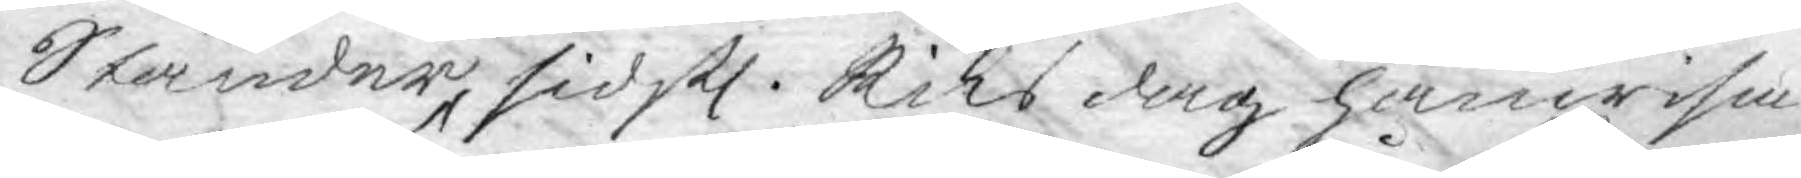Ständer, sidstl. Riksdag hänwisa
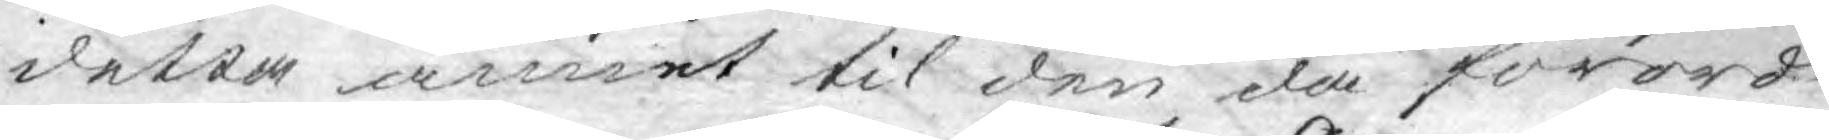detta ämnet til den då förord¬
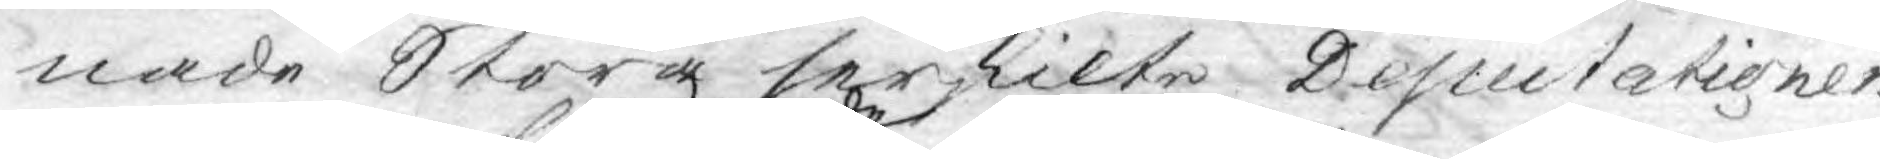nade Stora serskilte Deputationen
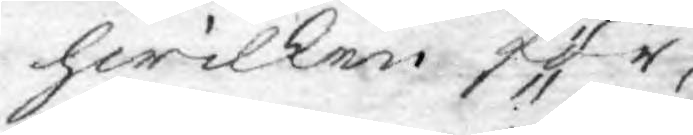hwilken för
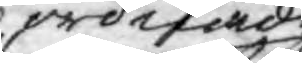ordnade
